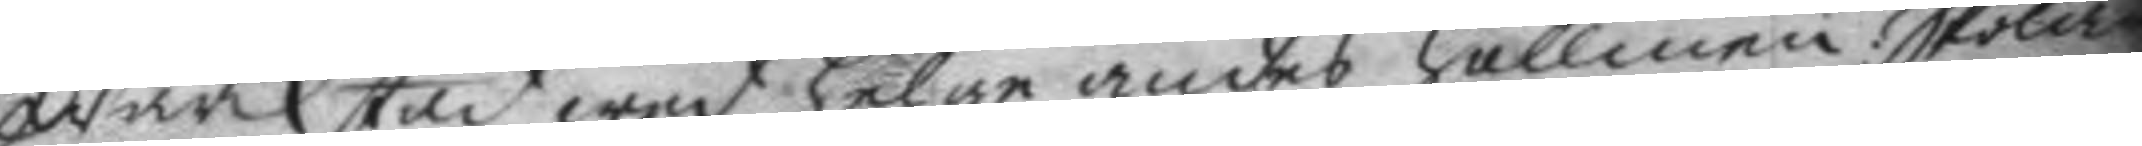Wärckstad wed helge andes hellien: Skolan¬
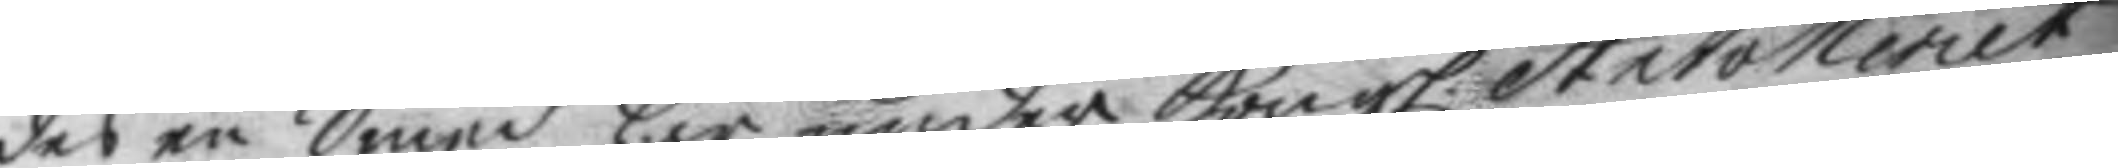des en Smed här under Kongl. Artolleriet
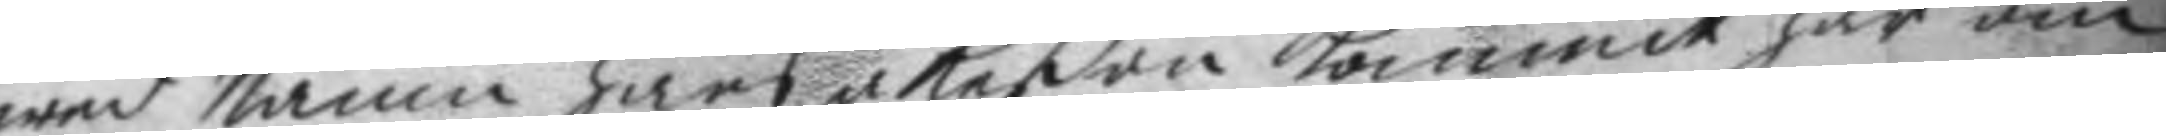wed Namn Hans åkeßon kommit här om
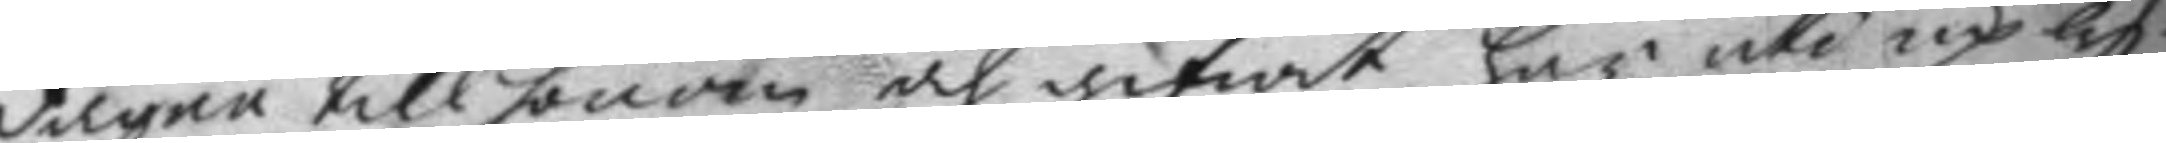dagen till honom och gifwit här uti uplys¬
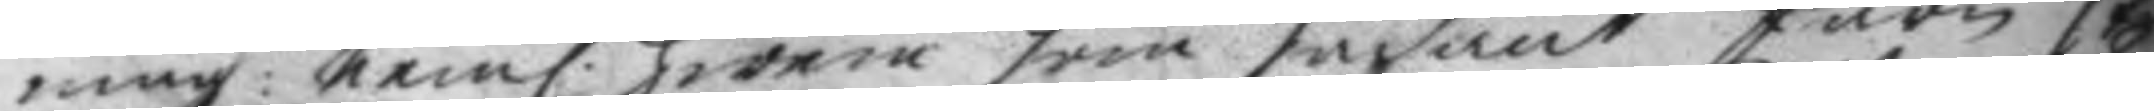ning: neml. hwem som sådnat före st
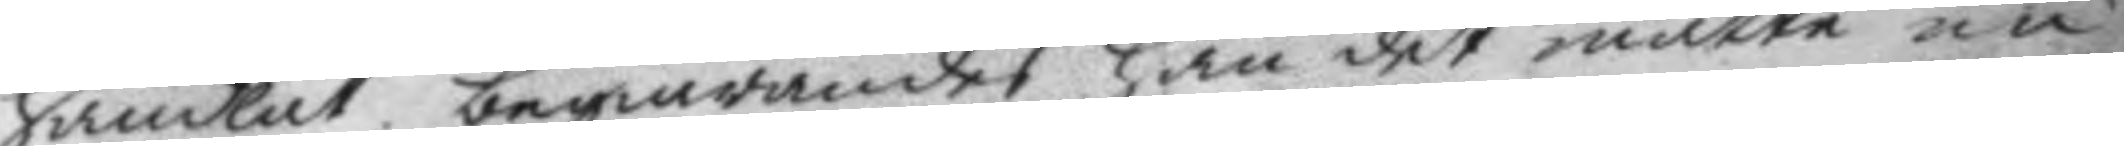handlat begiärandes han det måtte nu
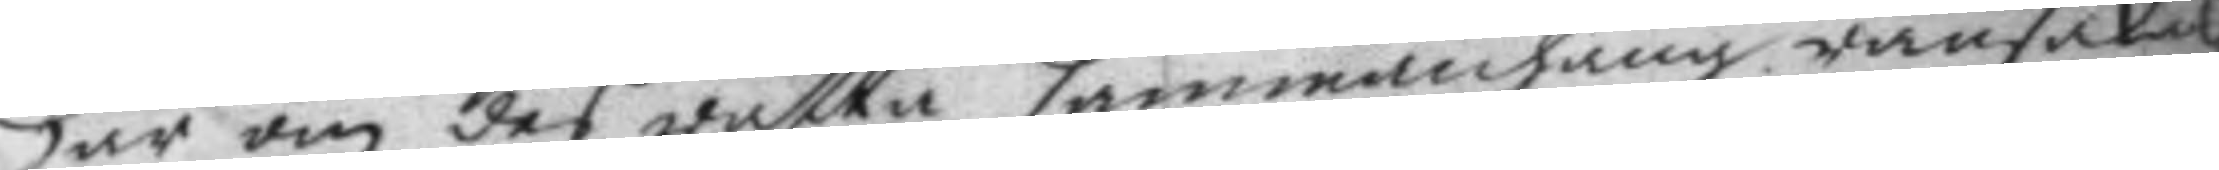här om des rätta sammanhang ransakas
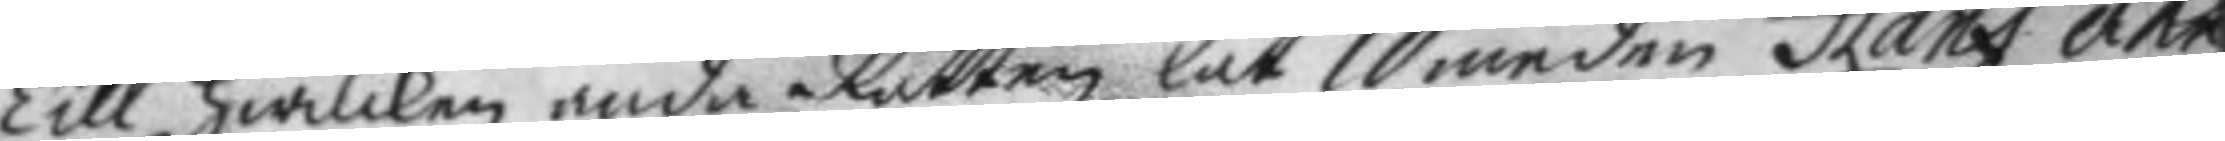Till hwilken ända Rätten lät Smeden Hans åke¬
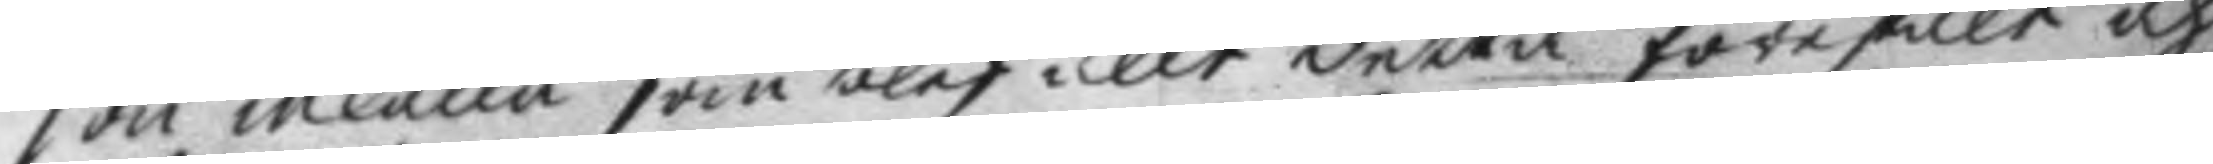son inkalla som blef allt detta förestält och
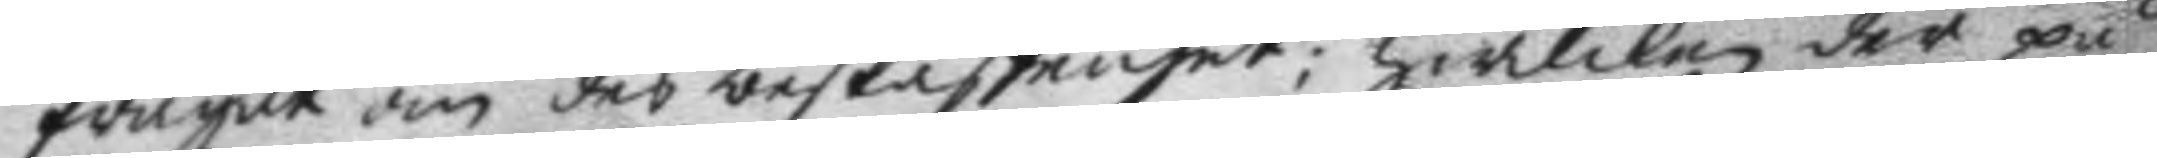frågat om des beskaffenhet: hwilken der på
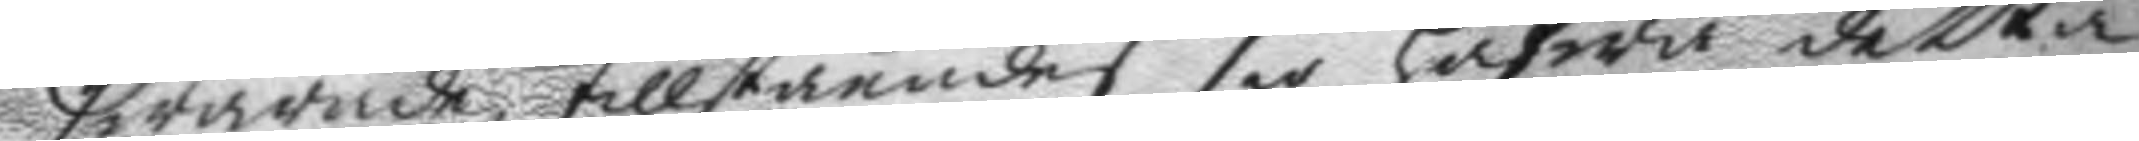swarade, tillståendes sig hafwa detta
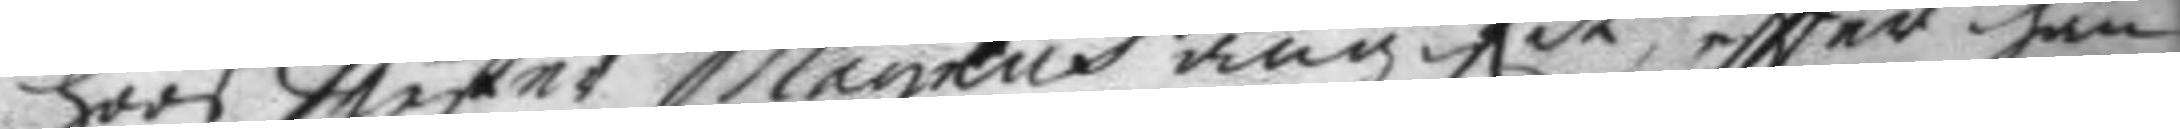hoos Mester Magnus angifit, eftter han
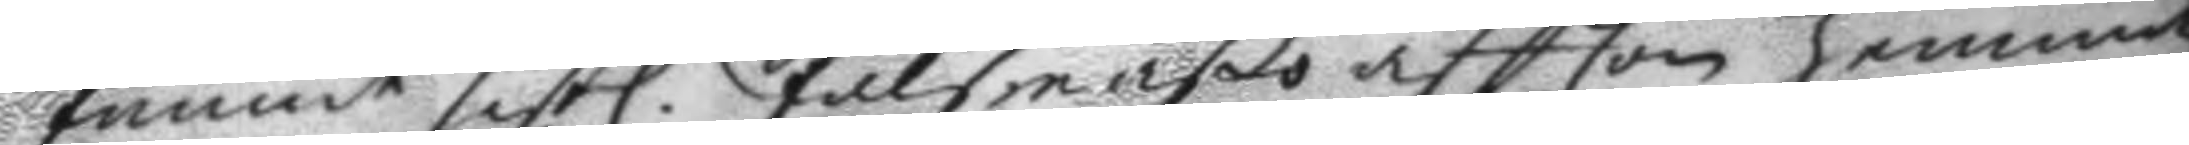funnit sistl. Pålsmäßo aftton hemma
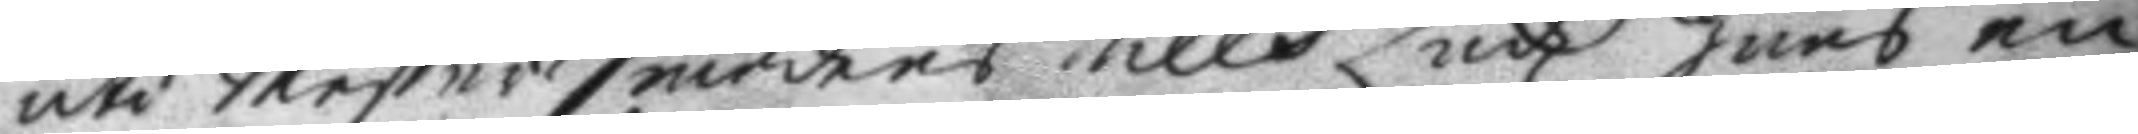uti Mester Smedens Nills Lindz huus en
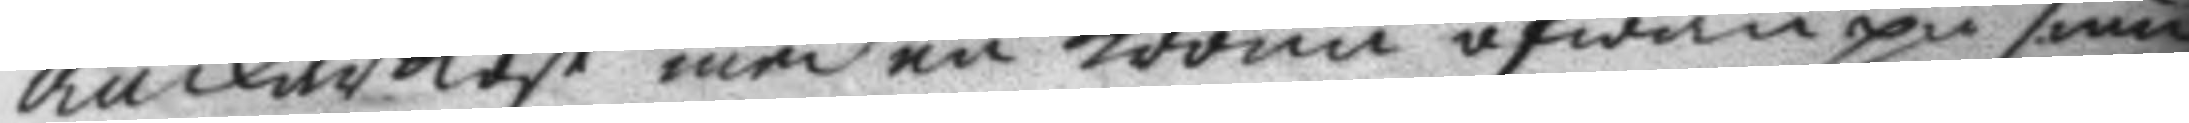anckarkost med en krona äfwen på smid
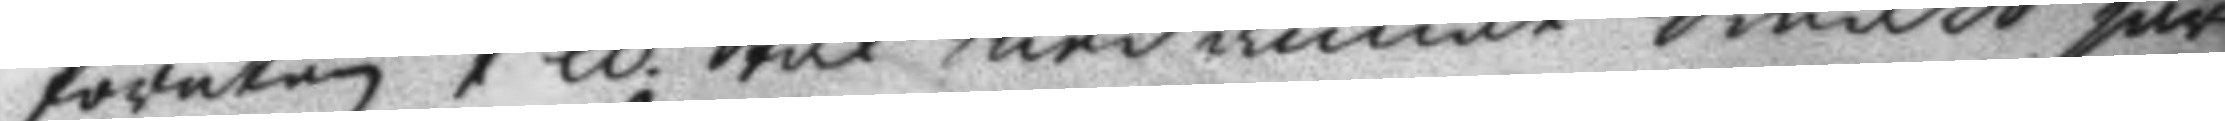förutan 1 ll Stål med annat Smått järn
